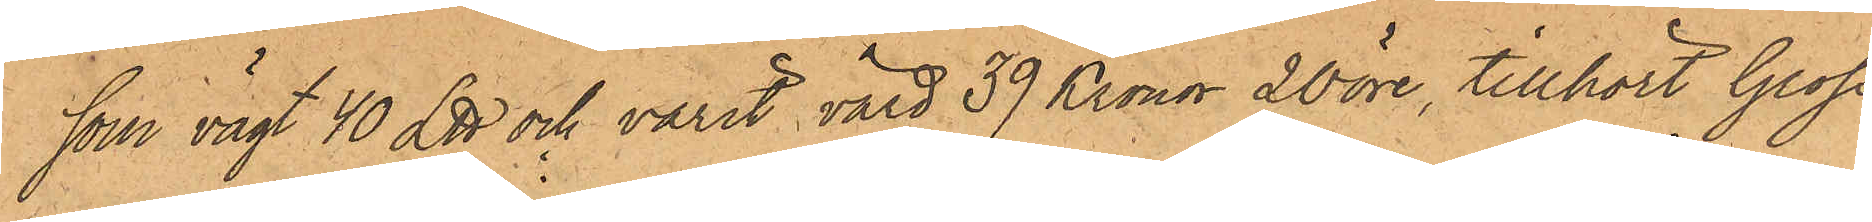som vägt 40 L℔ och varit värd 39 Kronor 20 öre, tillhört Gross¬
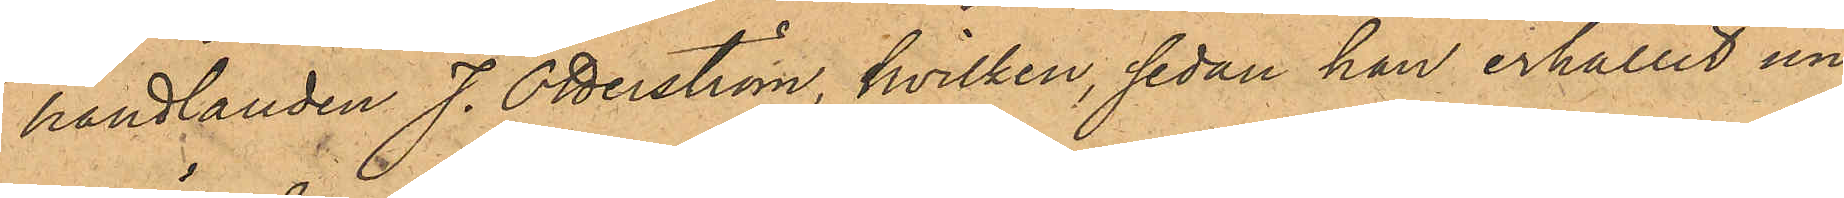handlanden J. Otterström, hvilken, sedan han erhållit un¬
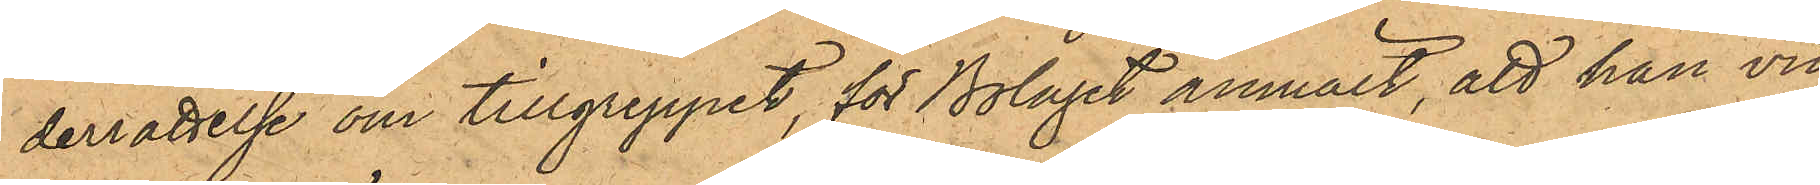derrättelse om tillgreppet för Bolaget anmält, att han vid
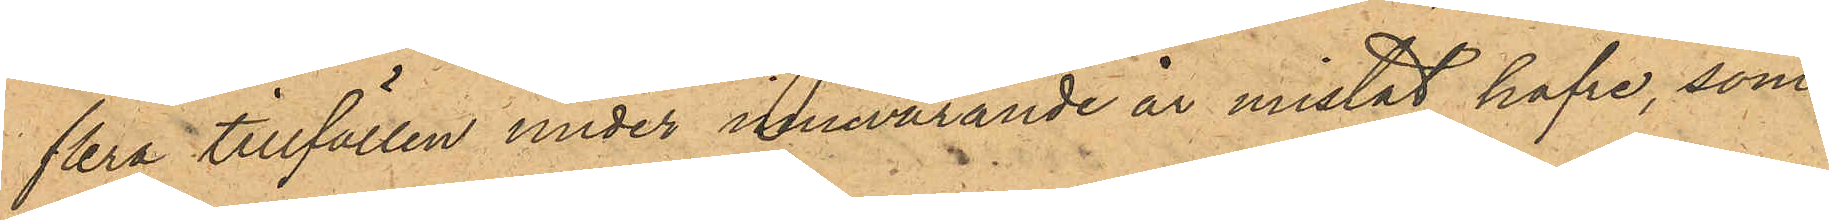flera tillfällen under innevarande år mistat hafre, som
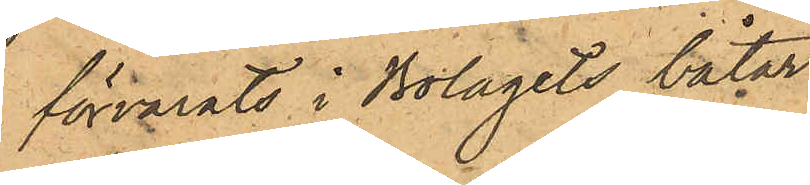förvarats i Bolagets båtar;
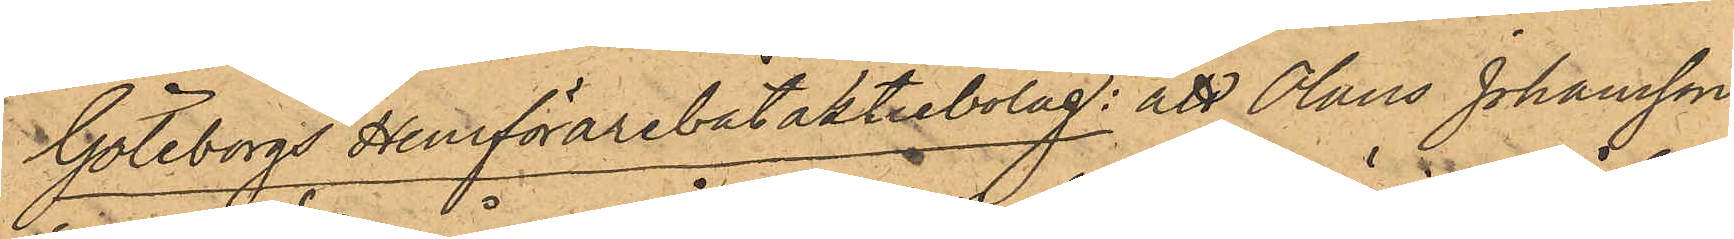Göteborgs Hemförarebåtaktiebolag; att Olaus Johansson
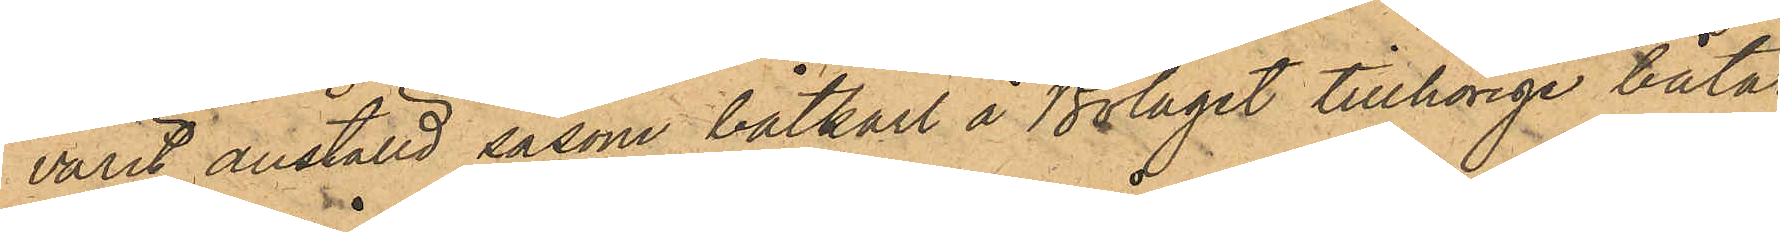varit anställd såsom båtkarl å Bolaget tillhörige båtar
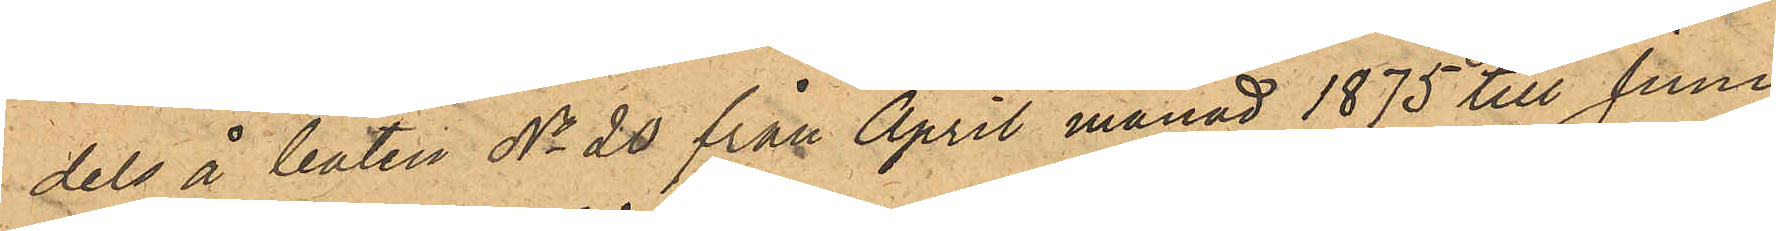dels å båten No 20 från April månad 1875 till Juni
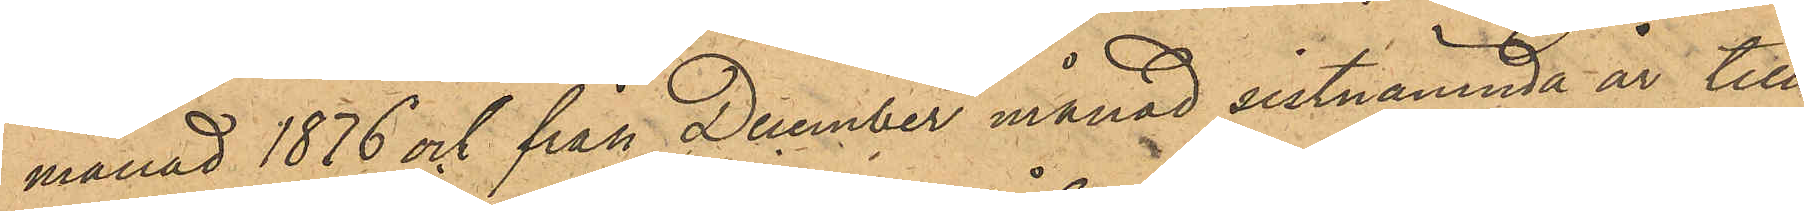månad 1876 och från December månad sistnämnda år till
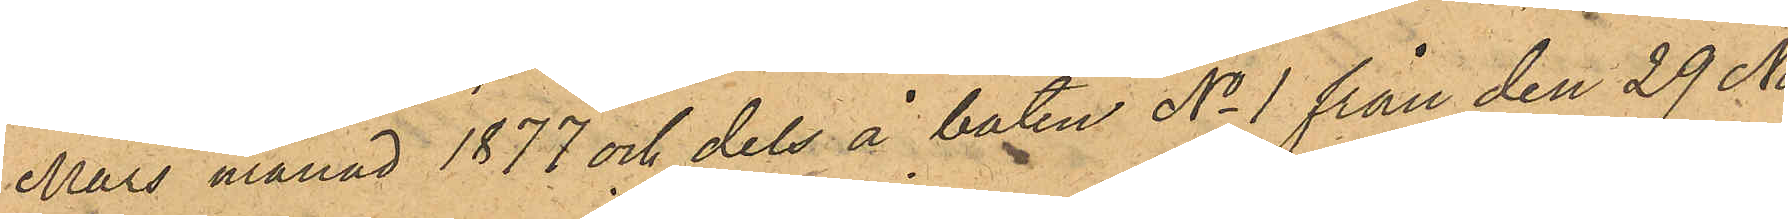Mars månad 1877 och dels å båten No 1 från den 29 No¬
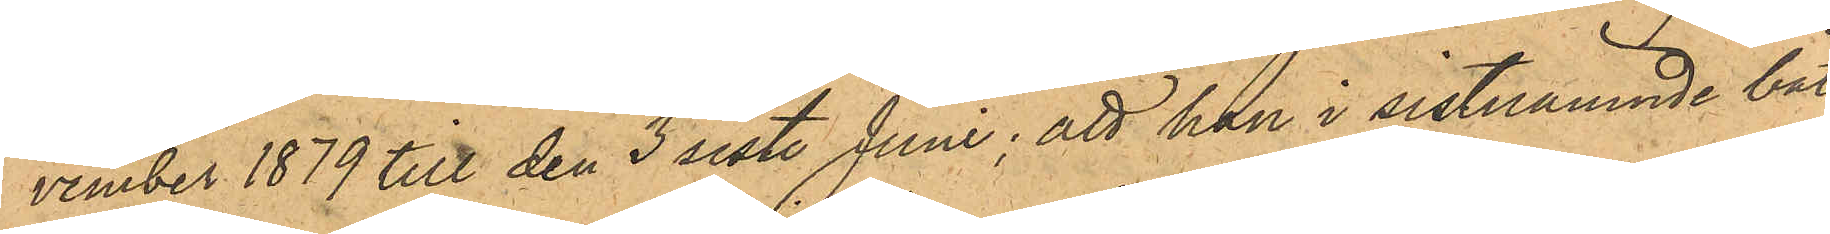vember 1879 till den 3 sist. Juni; att han i sistnämnde båt
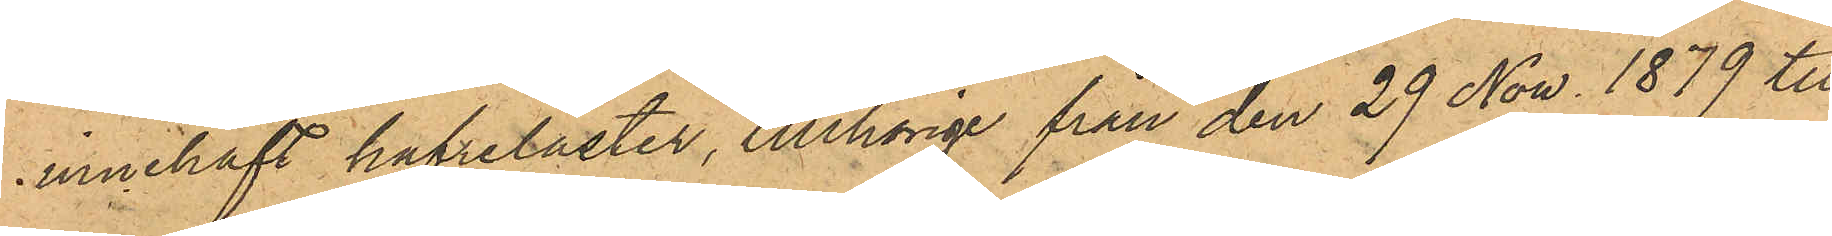innehaft hafrelaster, tillhörige från den 29 Now. 1879 till
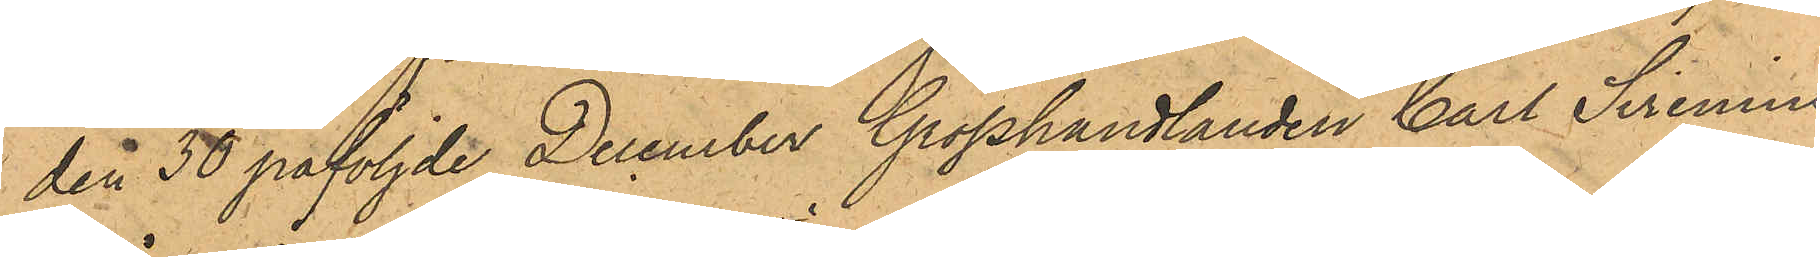den 30 påföljde December Grosshandlanden Carl Sirenius
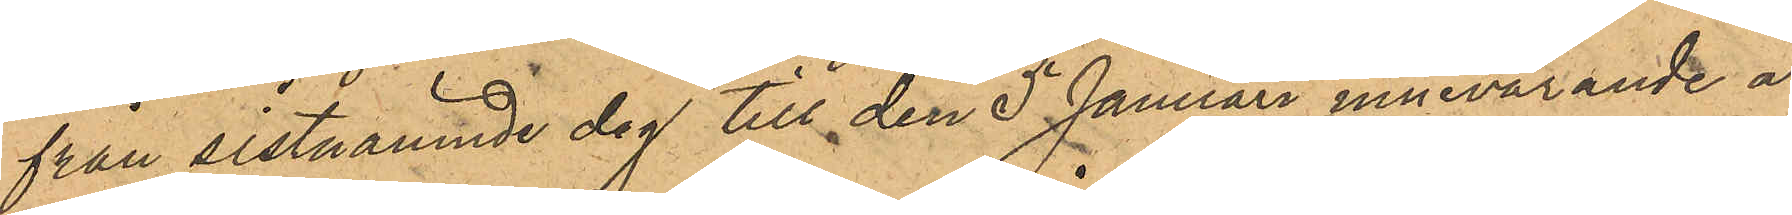från sistnämnde dag till den 5 Januari innevarande år
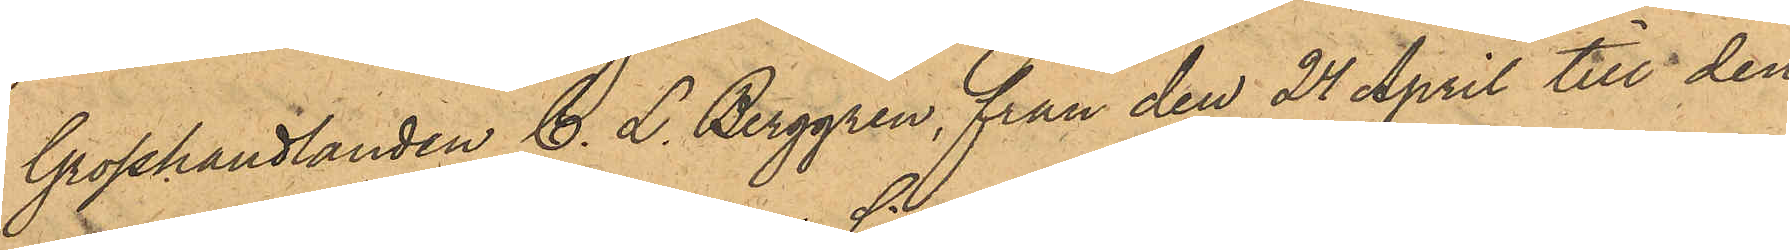Grosshandlanden C. L. Berggren, från den 24 April till den
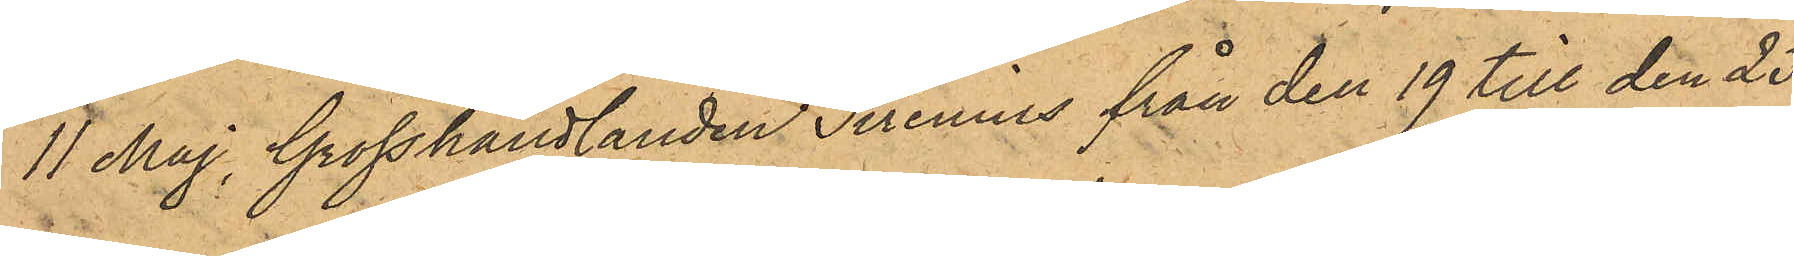11 Maj, Grosshandlanden Sirenius från den 19 till den 25
